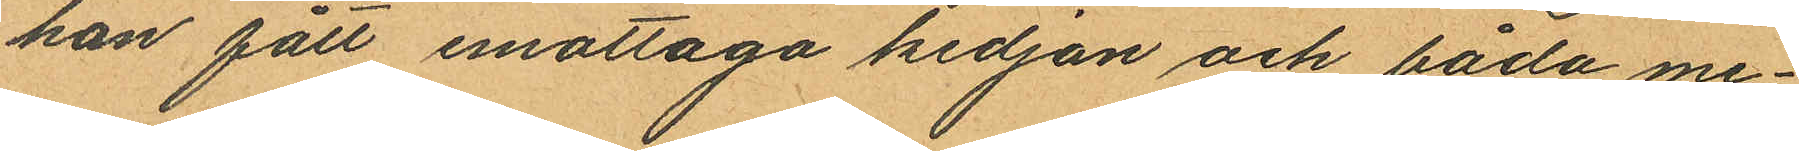han fått emottaga kedjan och båda me¬
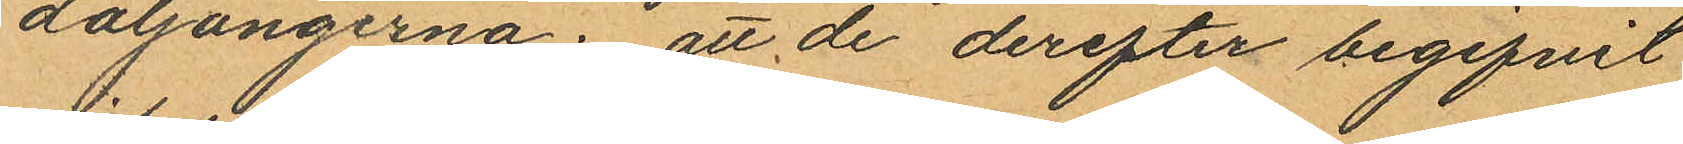daljongerna; att de derefter begifvit
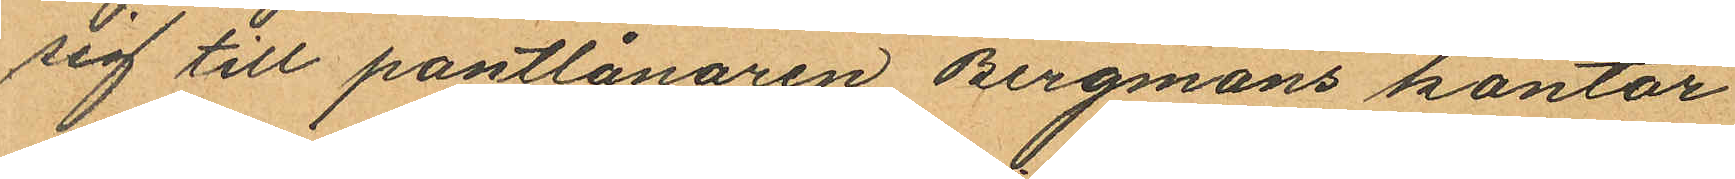sig till pantlånaren Bergmans kontor
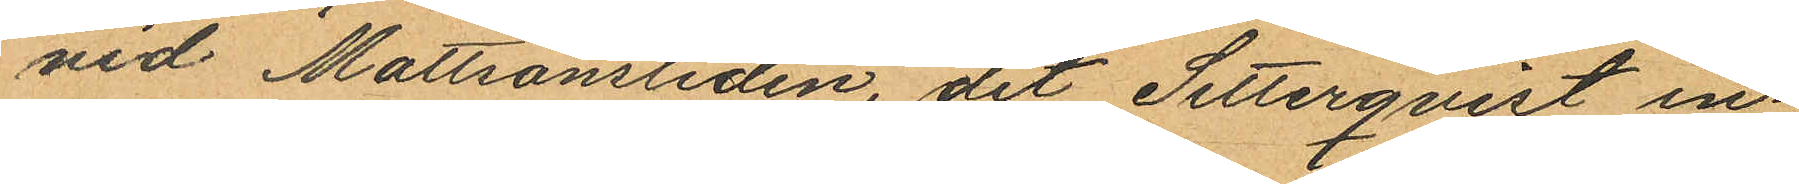vid Mattsonsliden, dit Setterqvist in¬
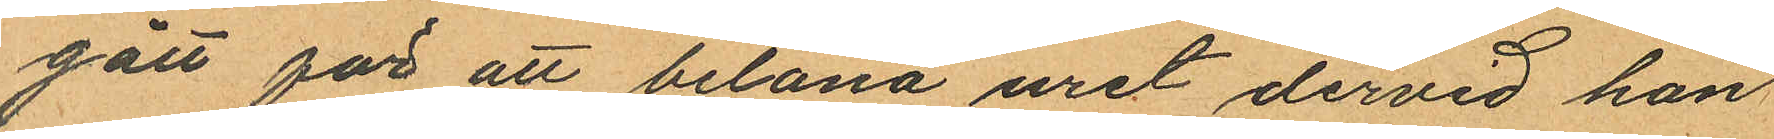gått för att belåna uret dervid han
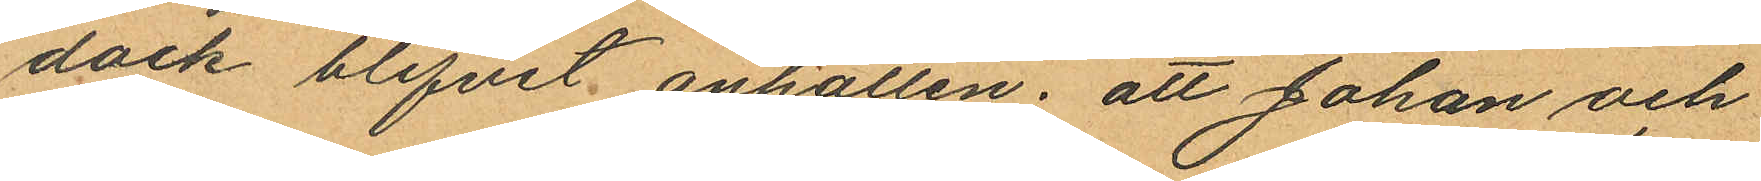dock blifvit anhållen; att Johan och
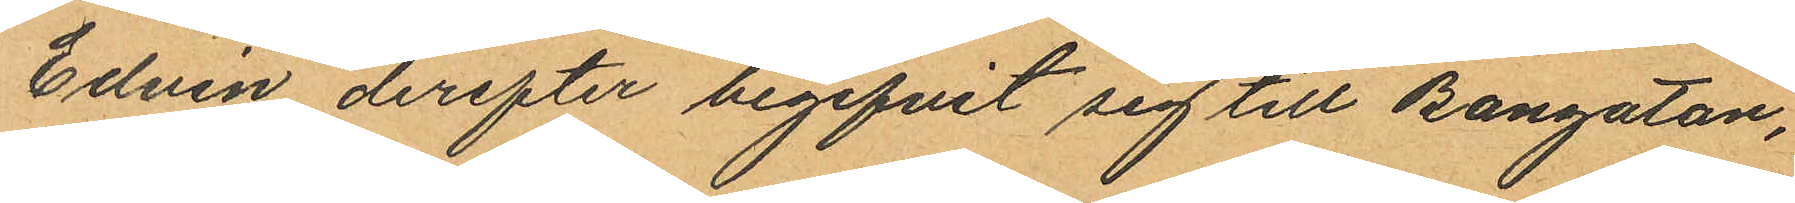Edvin derefter begifvit sig till Bangatan,
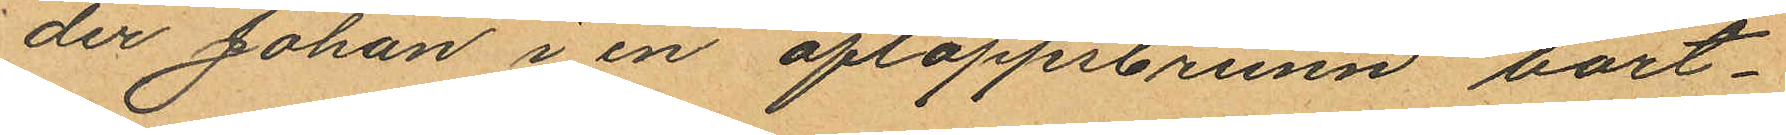der Johan i en afloppsbrunn bort¬
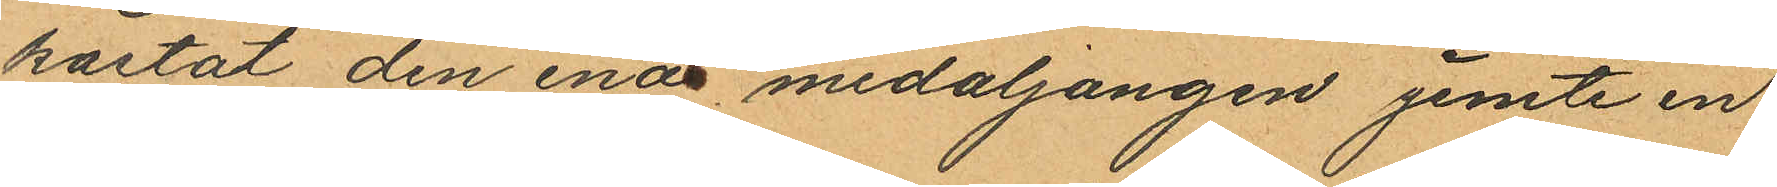kastat den enar medaljongen jemte en
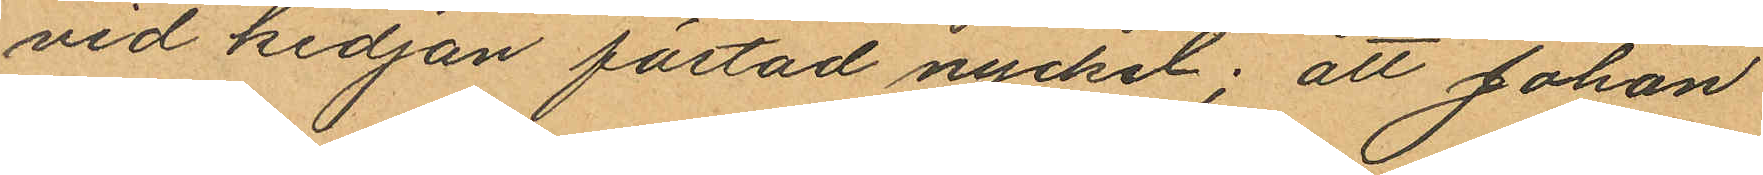vid kedjan fästad nyckel; att Johan
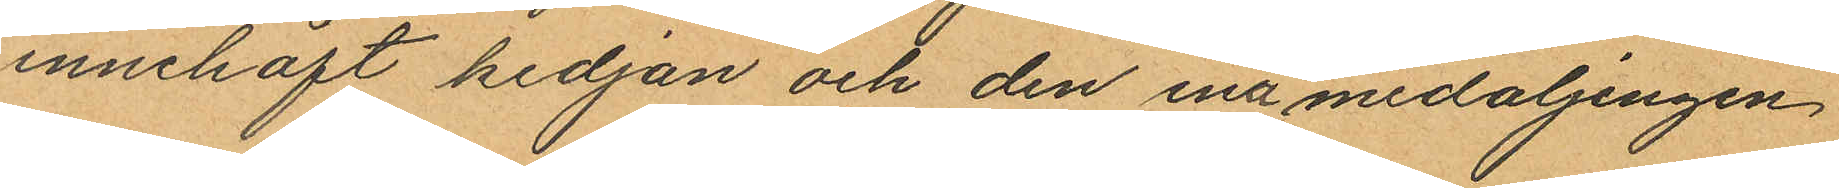innehaft kedjan och den ena medaljongen,
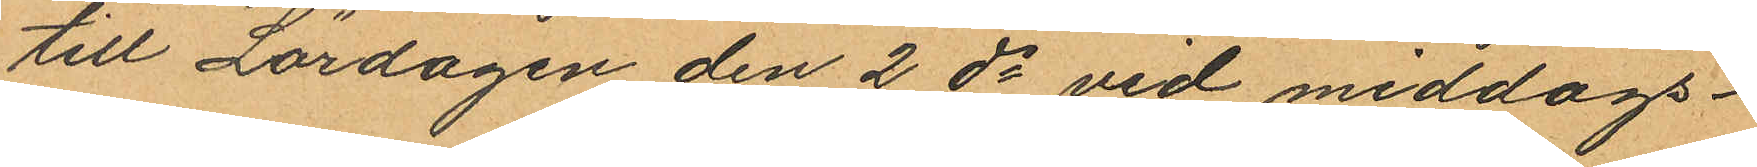till Lördagen den 2 ds vid middags¬
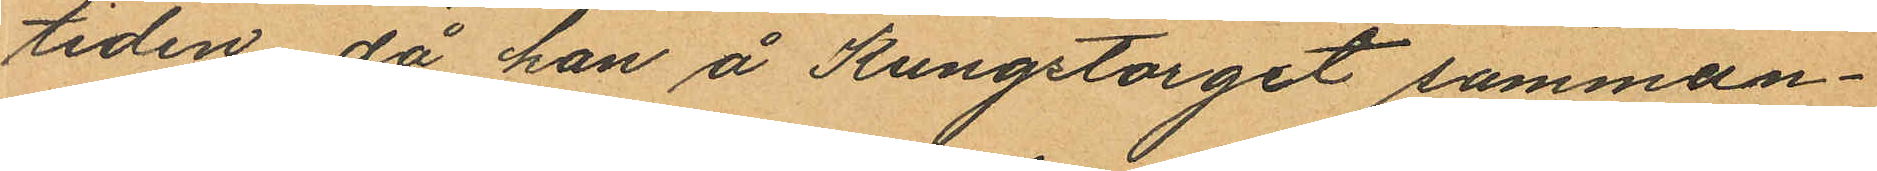tiden, då han å Kungstorget samman¬
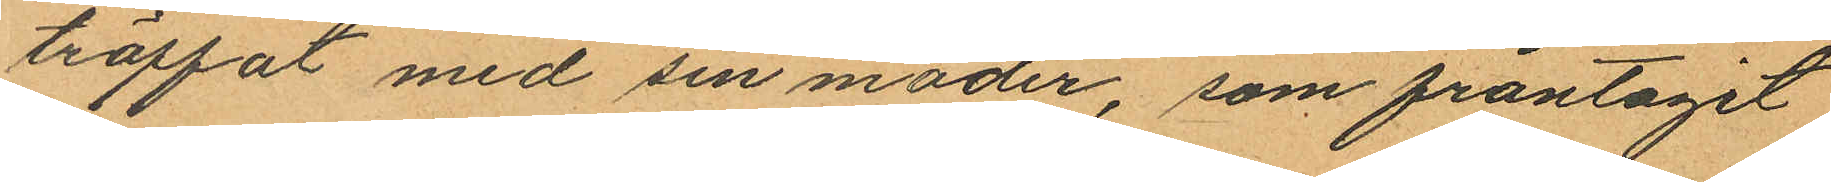träffat med sin moder, som fråntagit
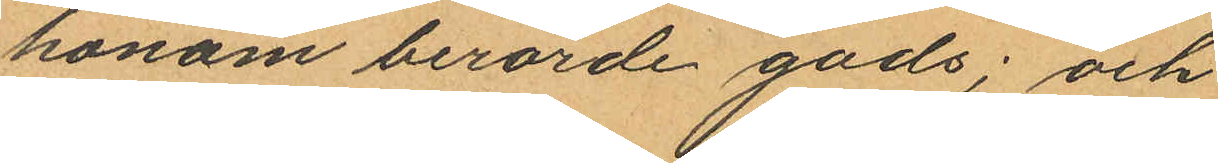honom berörde gods; och
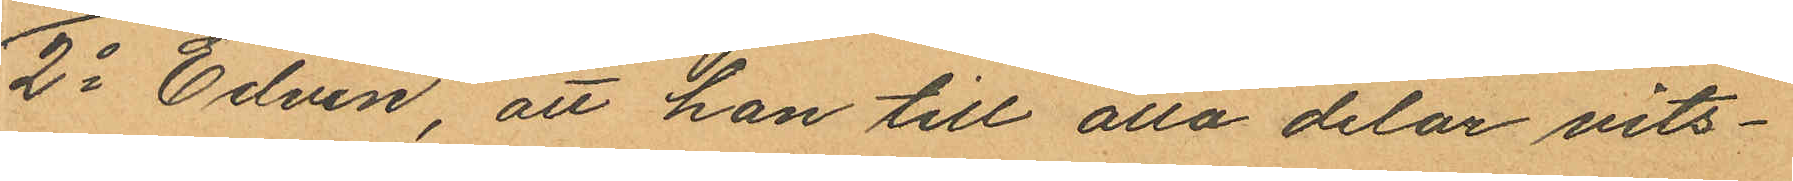2o Edvin, att han till alla delar vits¬
